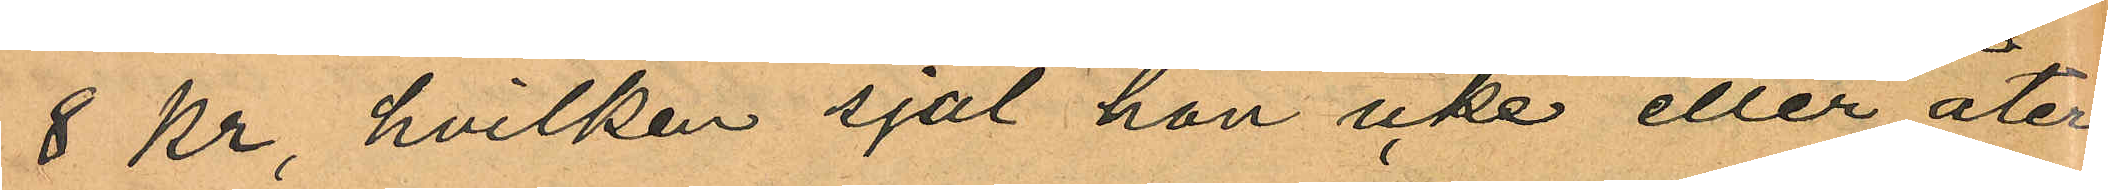8 Kr, hvilken sjal hon icke eller åter¬
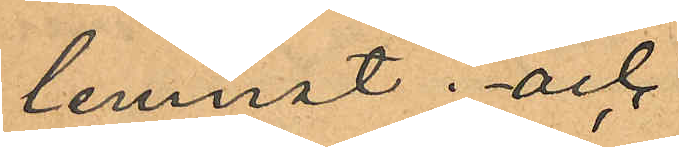lemnat; och
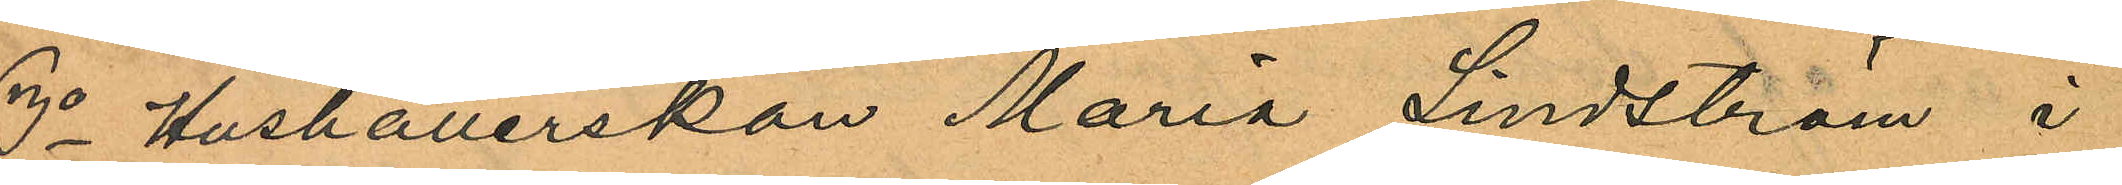3o Hushållerskan Maria Lindström i
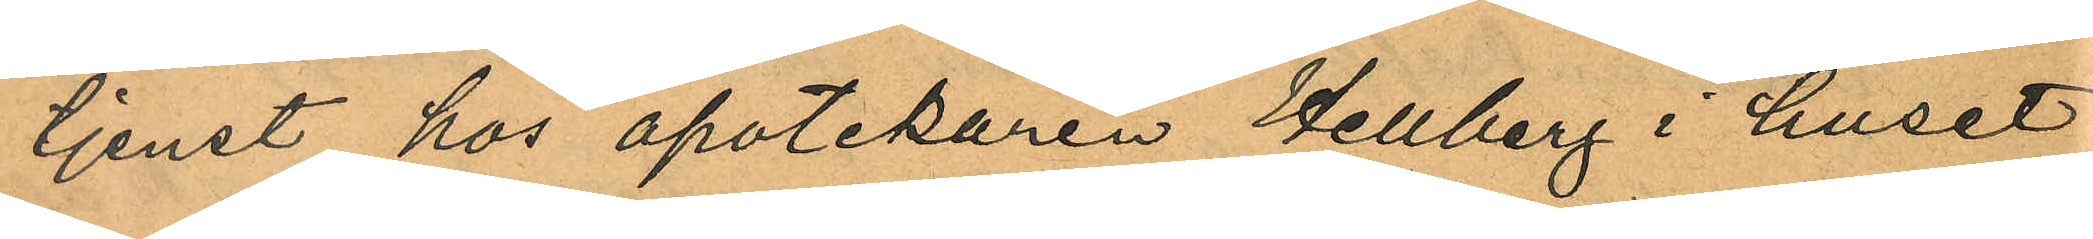tjenst hos apotekaren Hellberg i huset
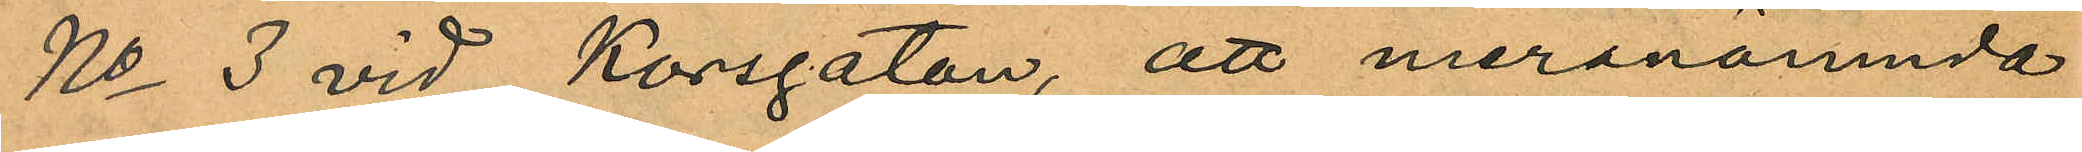No 3 vid Korsgatan, att meranämnde
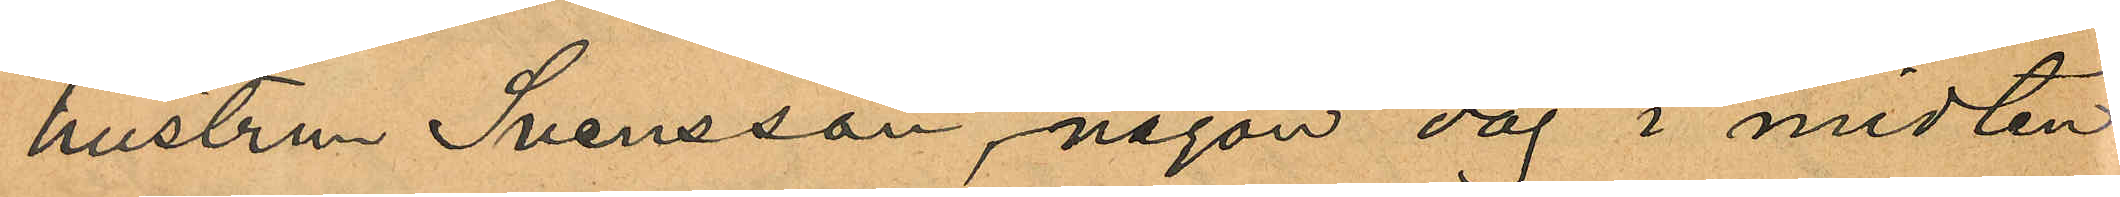hustrun Svensson, någon dag i midten
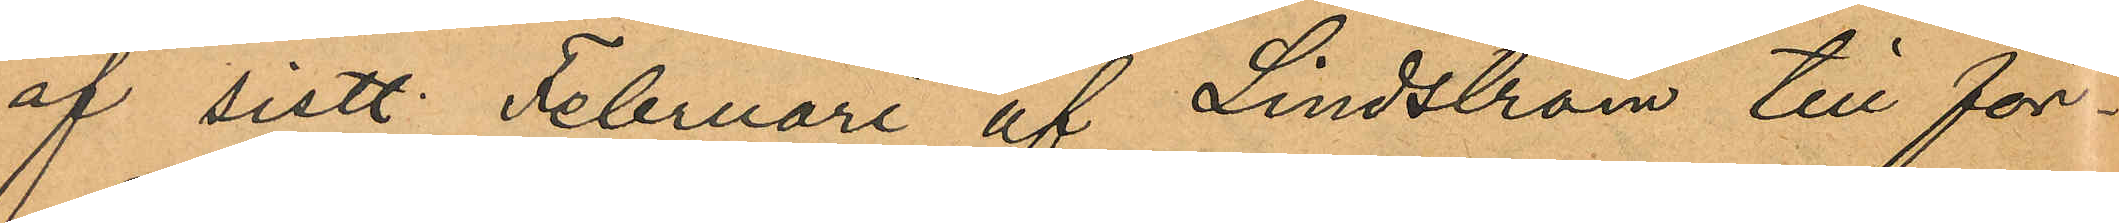af sistl. Februari af Lindström till för¬
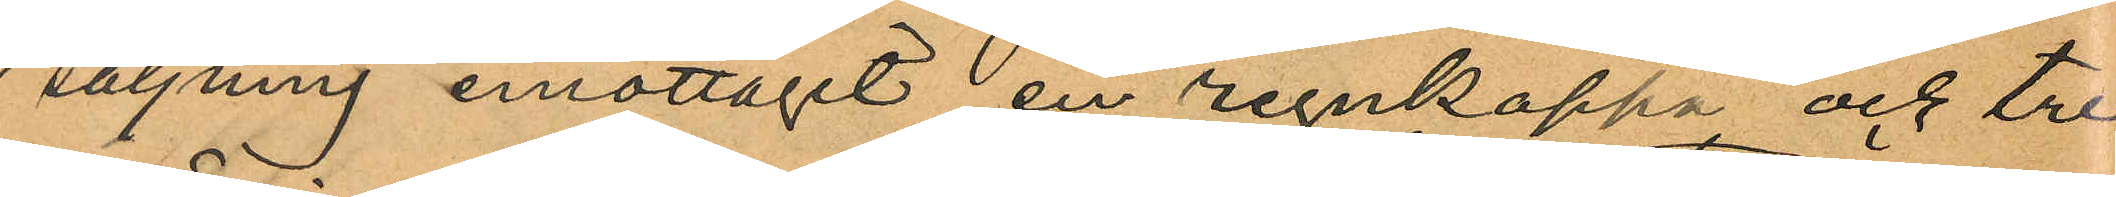säljning emottagit en regnkappa och tre
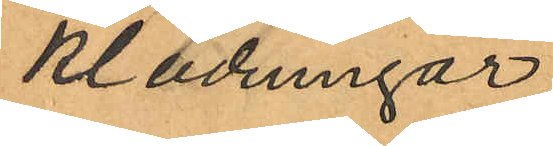klädningar
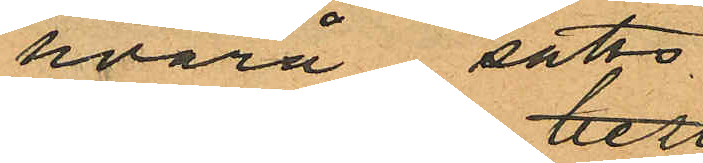hvarå satts
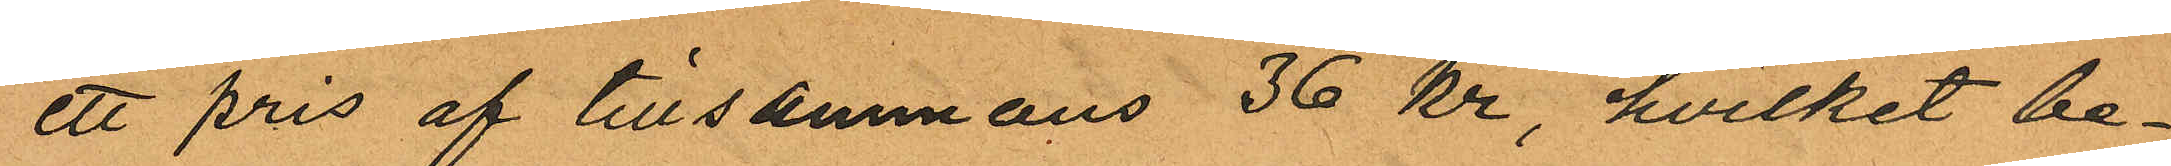ett pris af tillsammans 36 kr, hvilket be¬
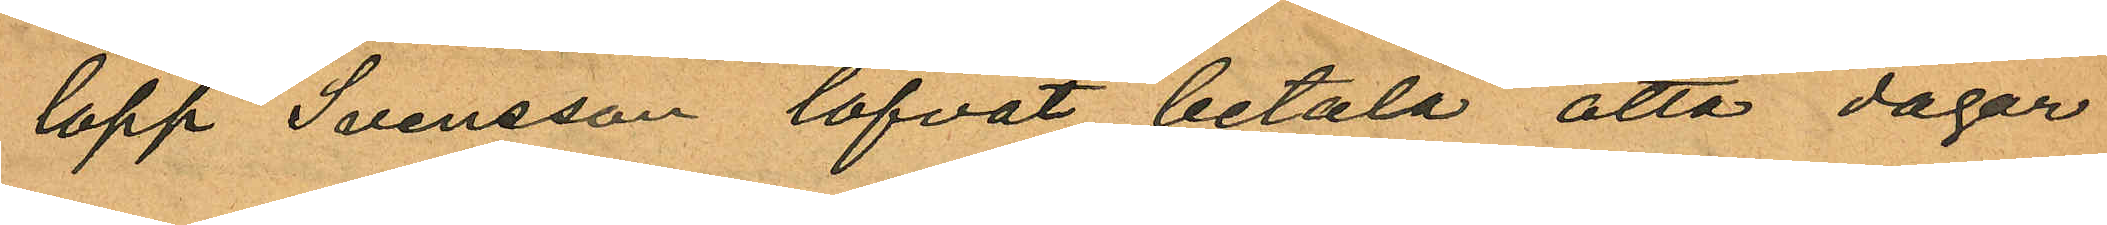lopp Svensson lofvat betala åtta dagar
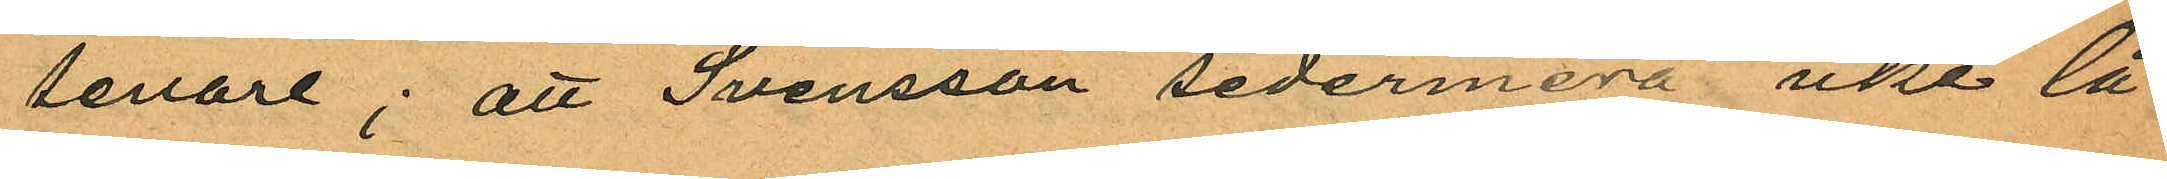senare; att Svensson sedermera icke lå¬
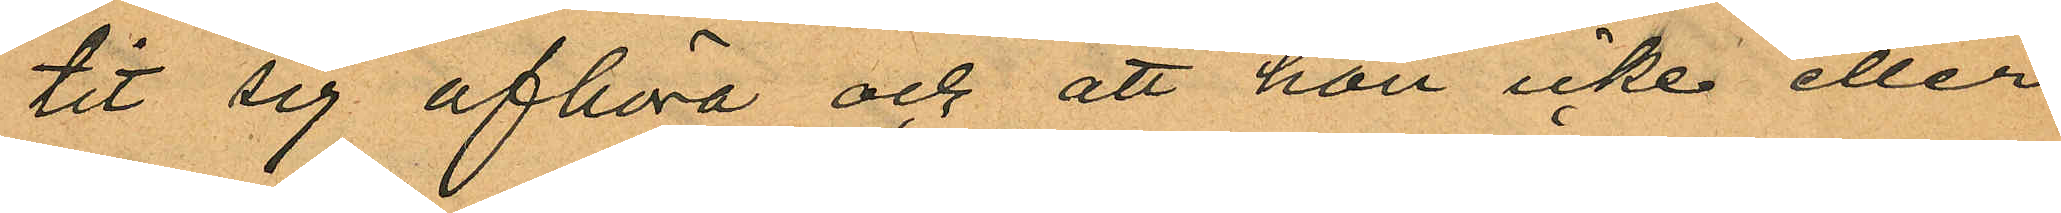tit sig afhöra och att hon icke eller
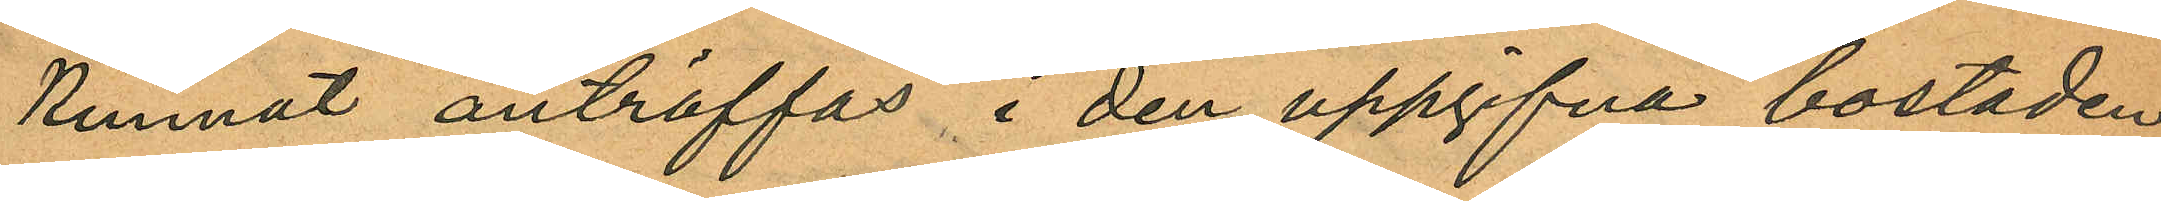kunnat anträffas i den uppgifna bostaden
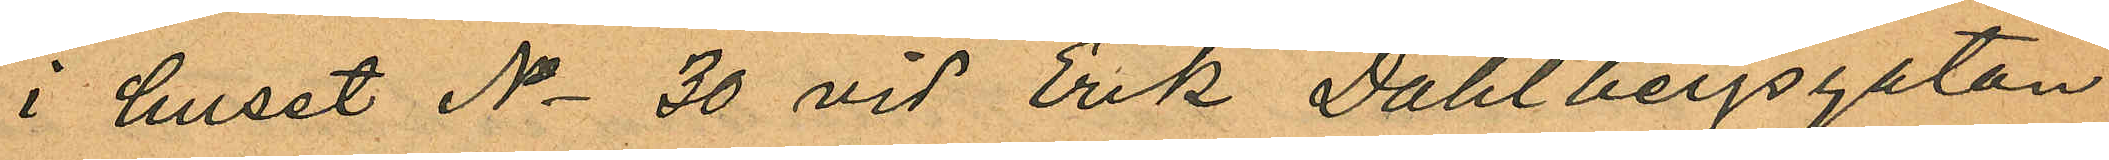i huset No 30 vid Erik Dahlbergsgatan
